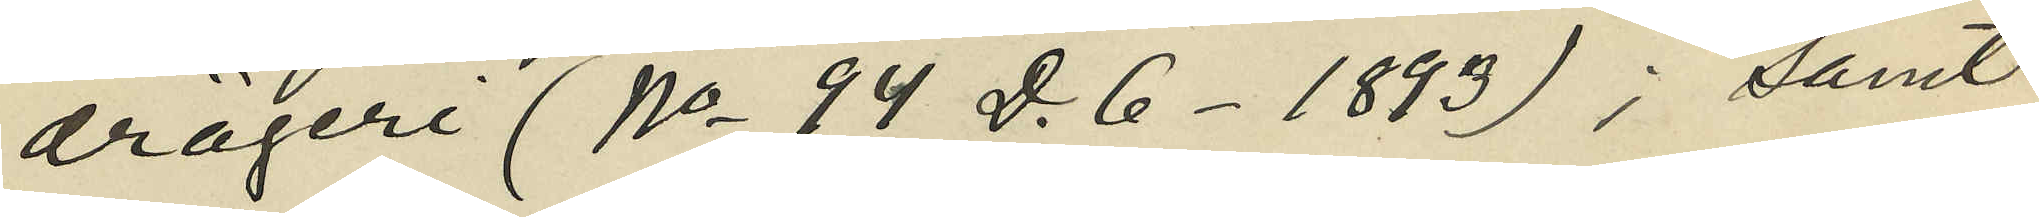drägeri (No 94 D. 6 -1893); samt
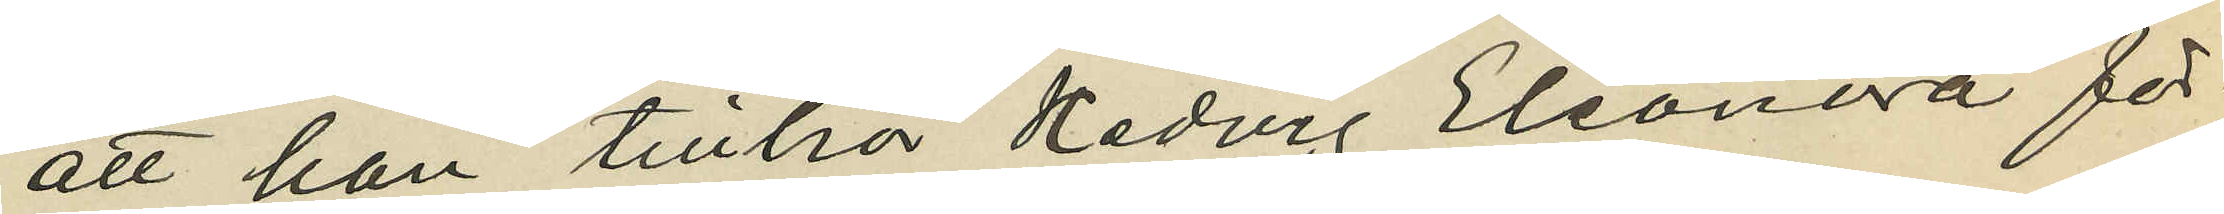att han tillhör Hedvig Eleonora för¬
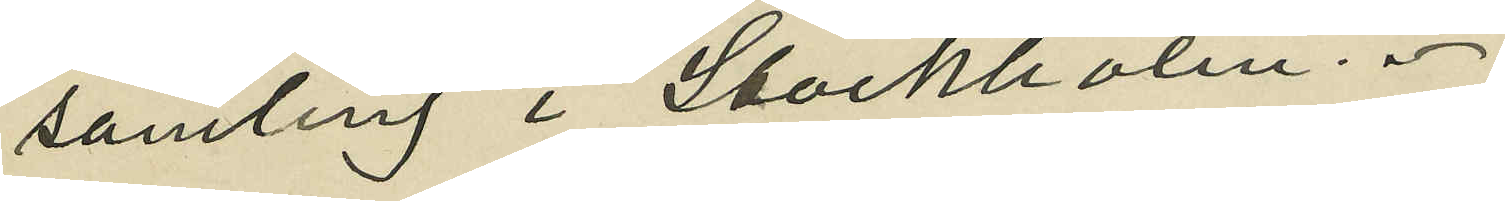samling i Stockholm.
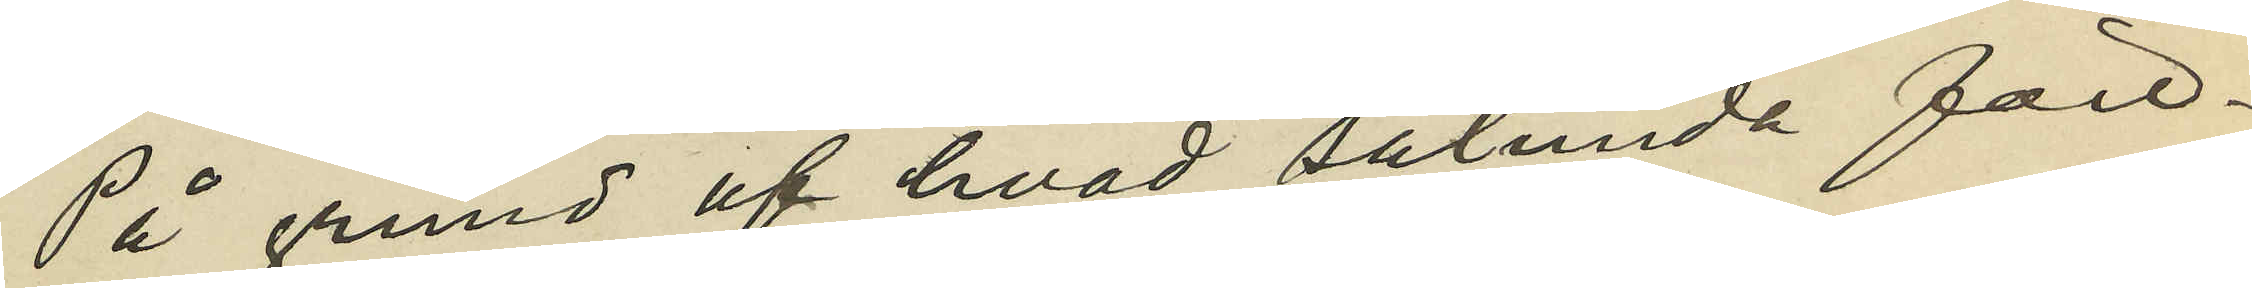På grund af hvad sålunda före¬
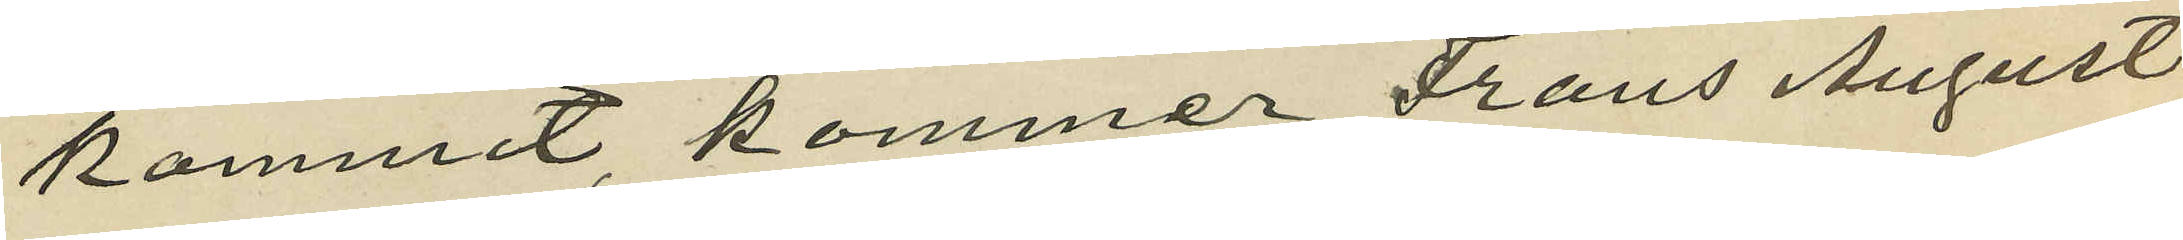kommit, kommer Frans August
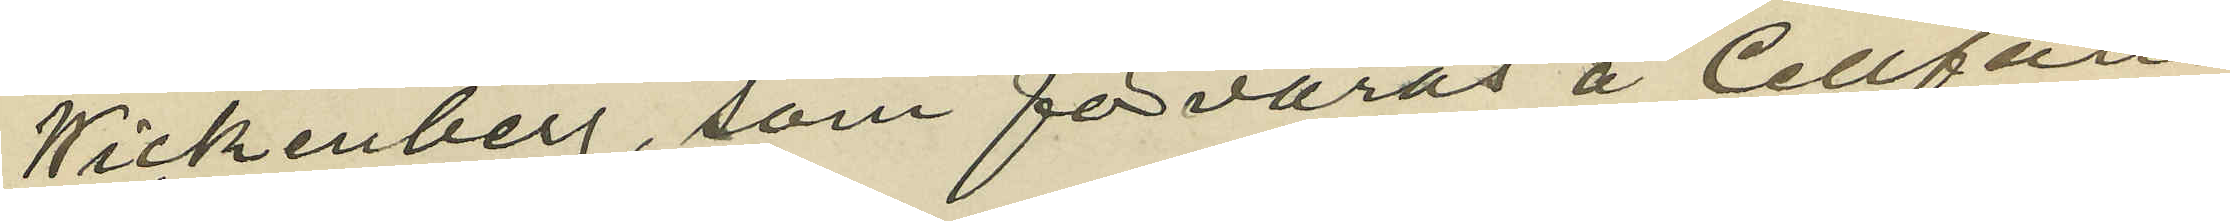Wickenberg, som förvaras å Cellfän¬
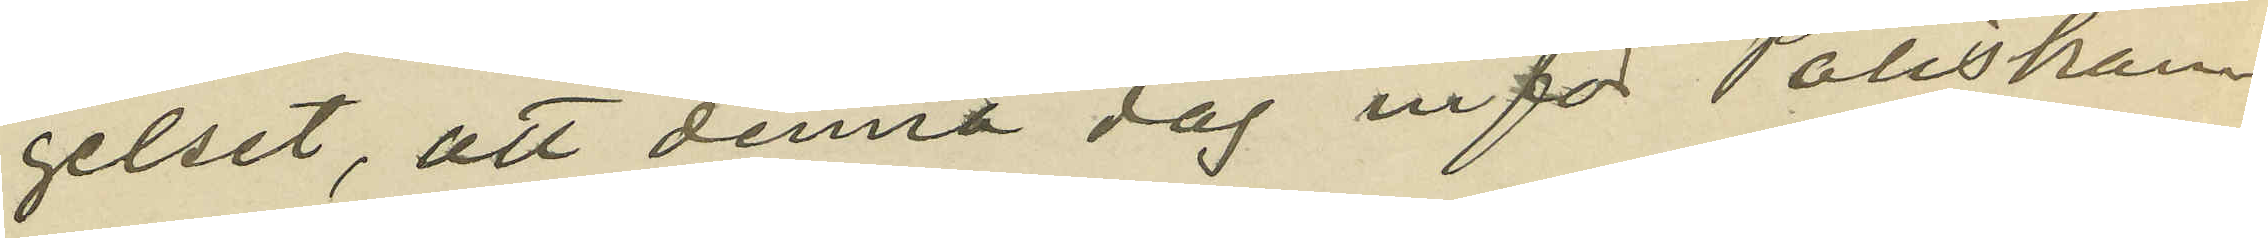gelset, att denna dag inför Poliskam¬
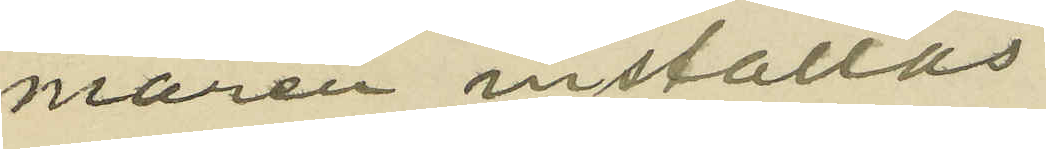maren inställas.
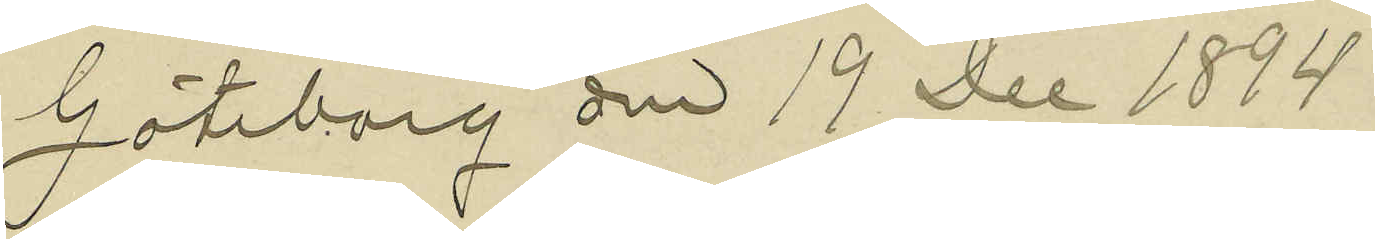Göteborg den 19 Dec 1894
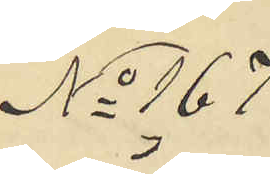No 167
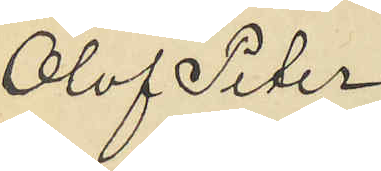Olof Peter
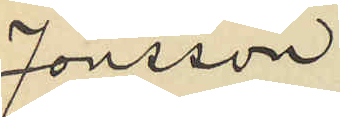Jonsson.
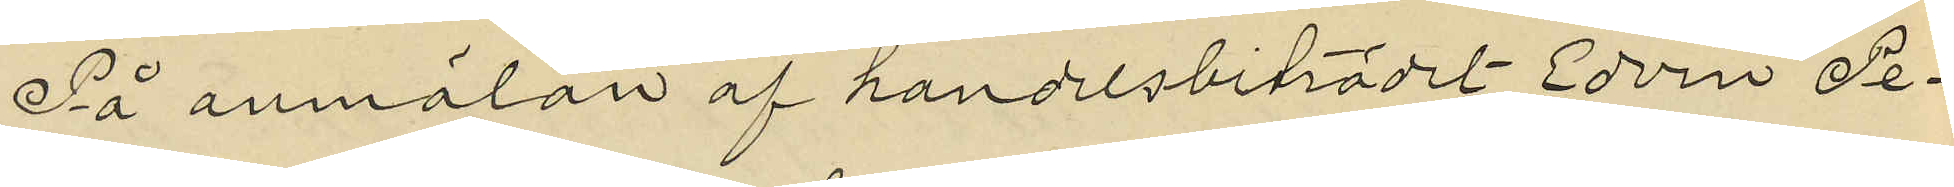På anmälan af handelsbiträdet Edvin Pe¬
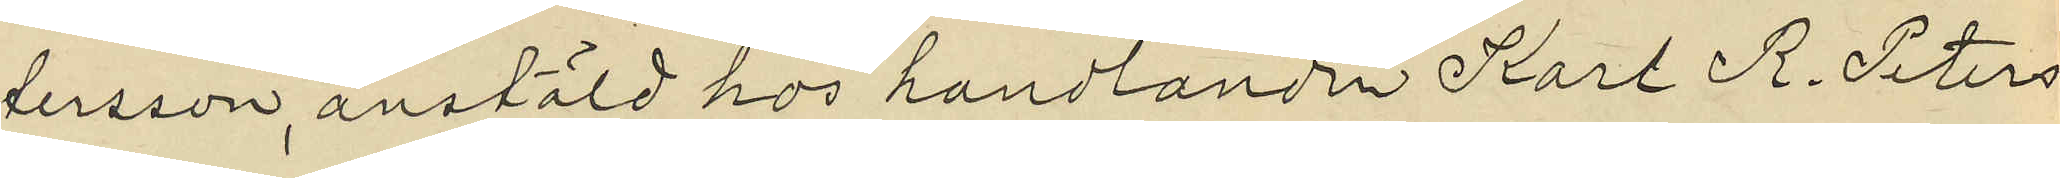tersson, anstäld hos handlanden Karl R. Peters¬
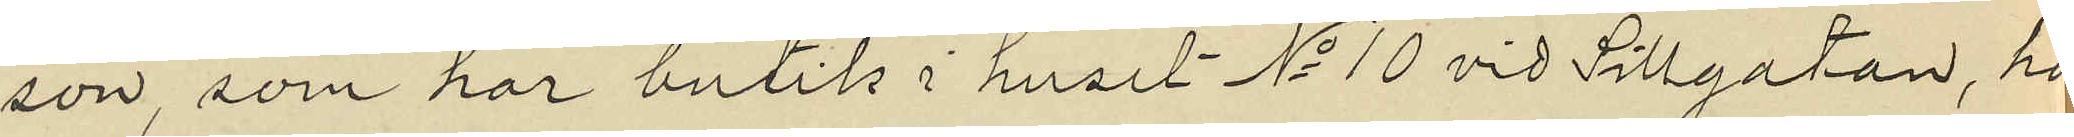son, som har butik i huset No 10 vid Sillgatan, ha
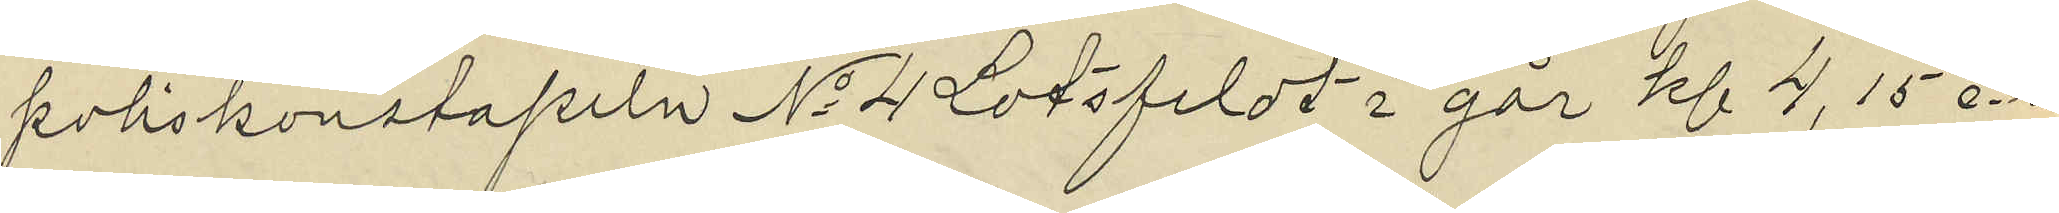poliskonstapeln No 4 Lotsfeldt i går kl 4,15 e.m
